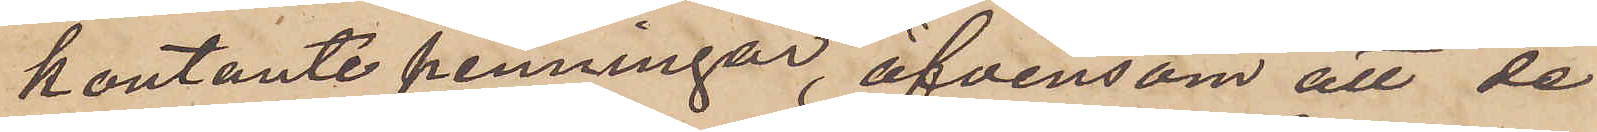kontante penningar, äfvensom att de
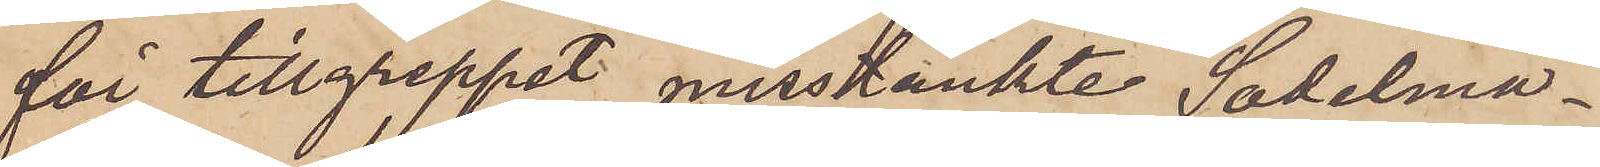för tillgreppet misstänkte Sadelma¬
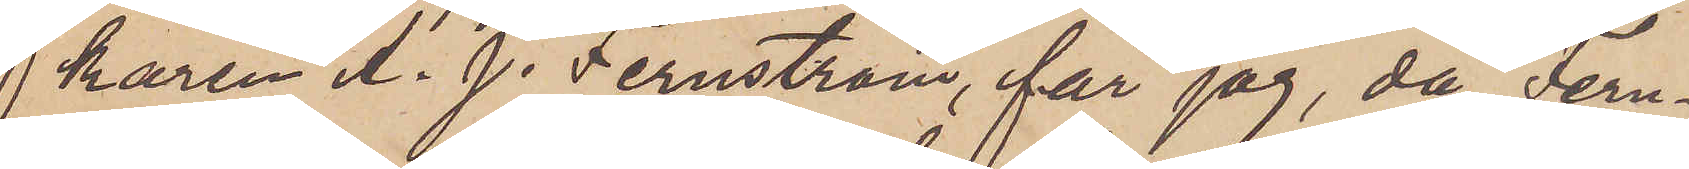karen A. J. Fernström, får jag, då Fern¬
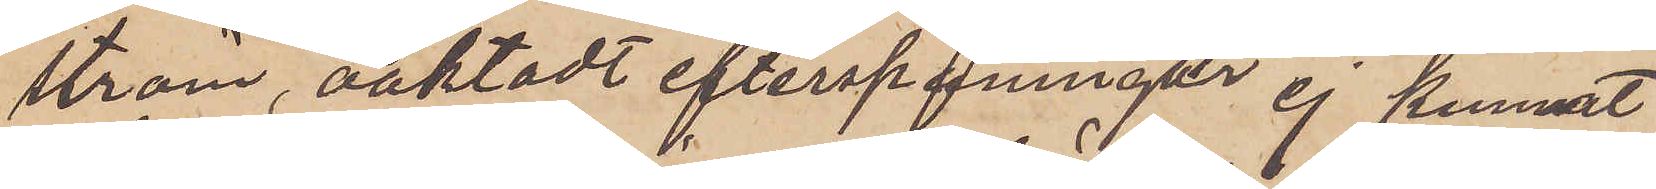ström, oaktadt efterspaningar ej kunnat
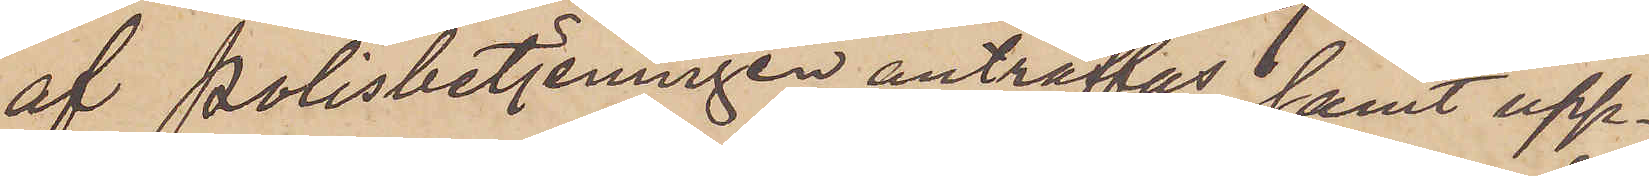af Polisbetjeningen anträffas samt upp¬
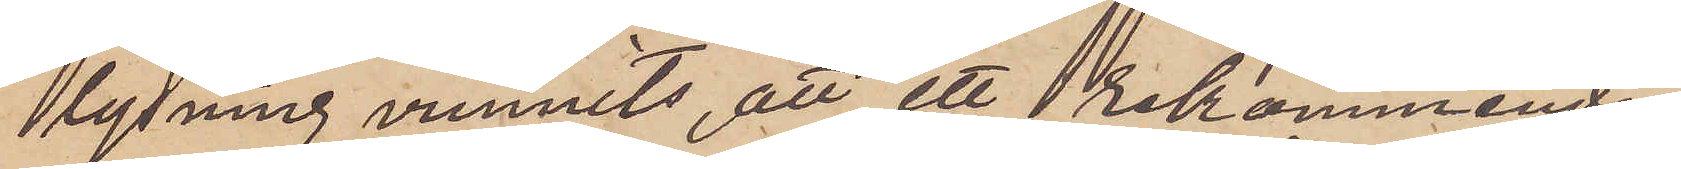lysning vunnits, att ett rekommende¬
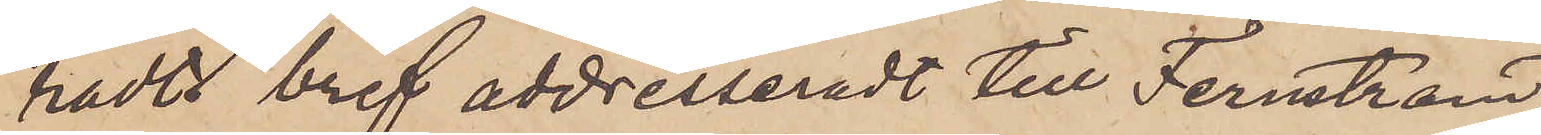radt bref addresseradt till Fernström
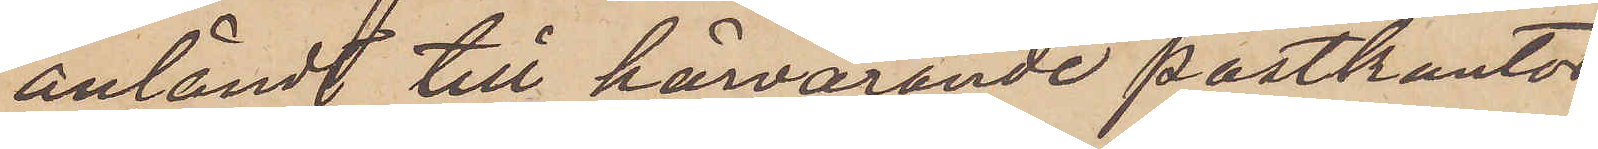anländt till härvarande postkontor,
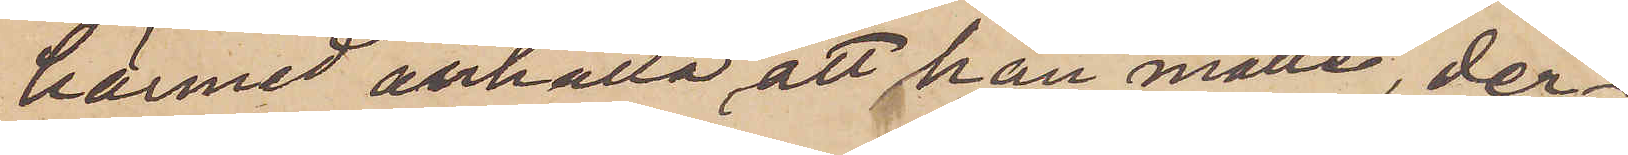härmed anhålla, att han måtte, der¬
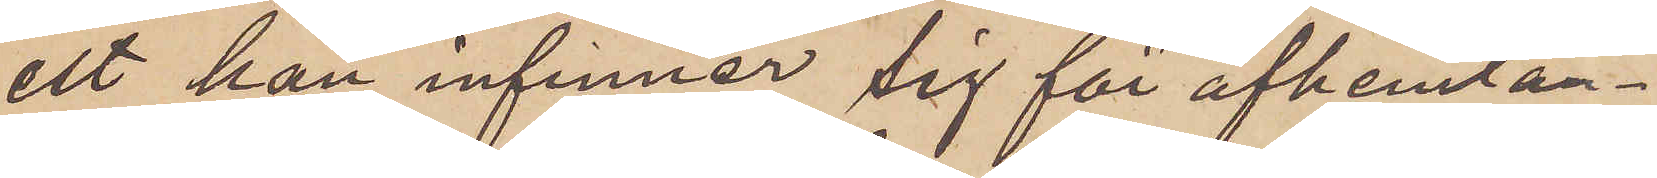est han infinner sig för afhemtan¬
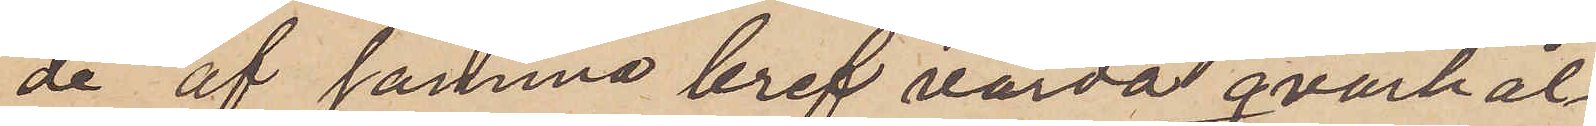de af samma bref varda qvarhål¬
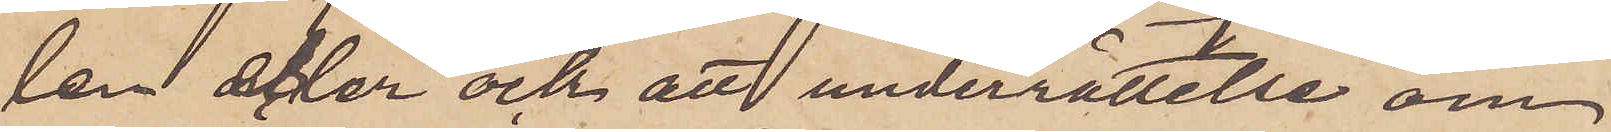len eller ock att underrättelse om
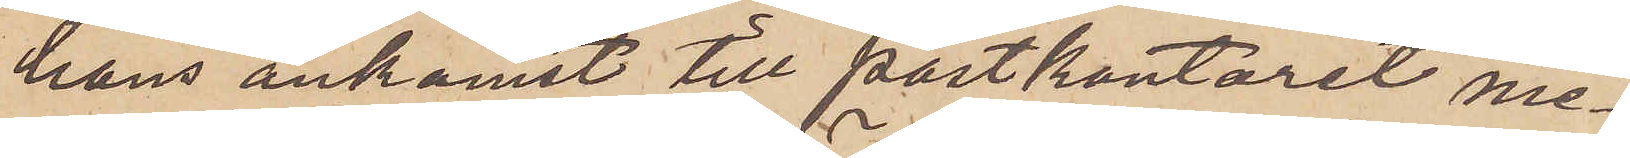hans ankomst till postkontoret me¬
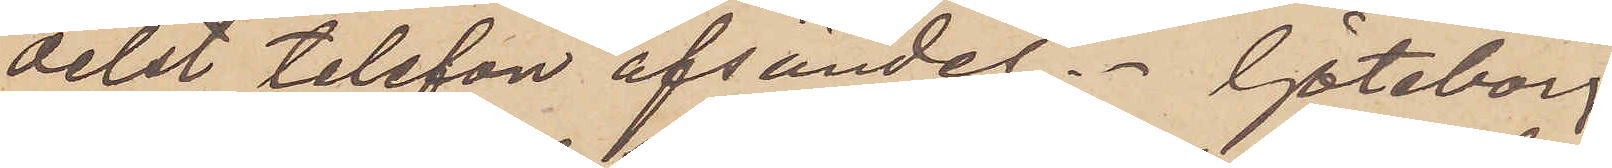delst telefon afsändes. Göteborg
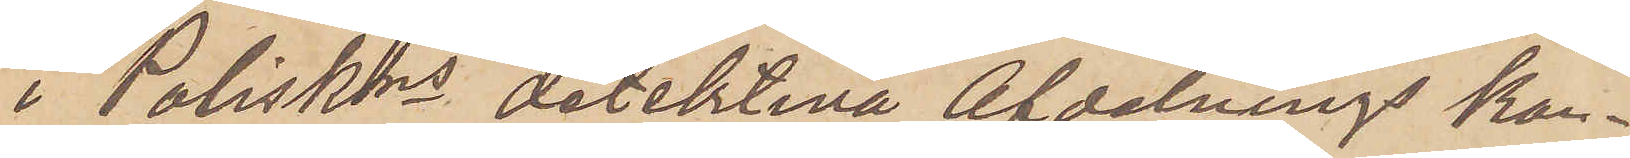i Poliskons detektiva Afdelnings kon¬
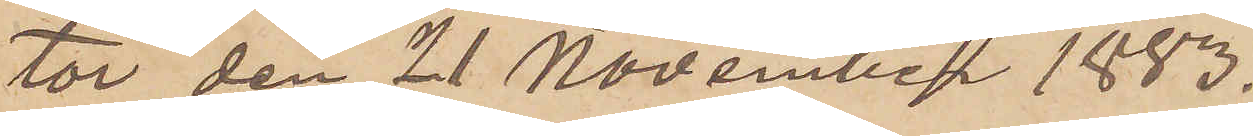tor den 21 November 1883.
